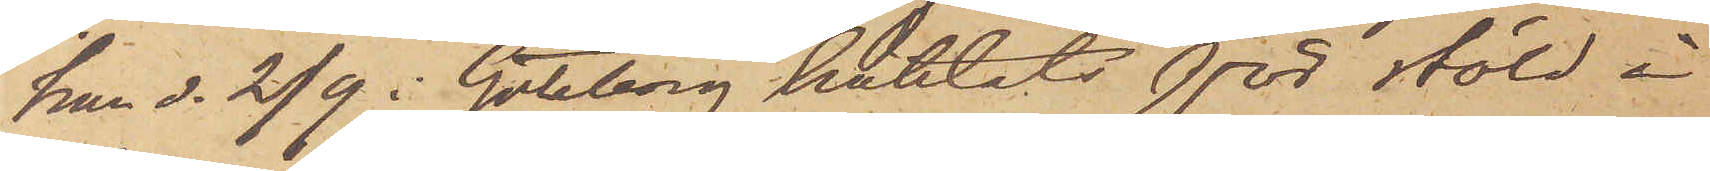har d. 2/9 i Göteborg häktats för stöld å
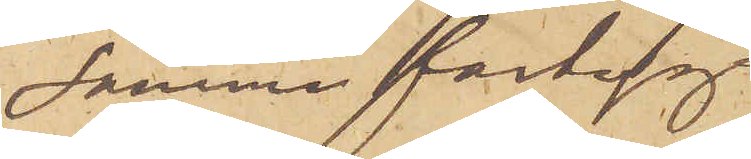samma fartyg.
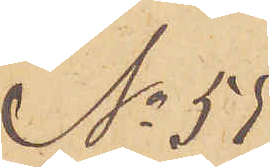No 55
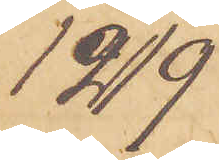12/9
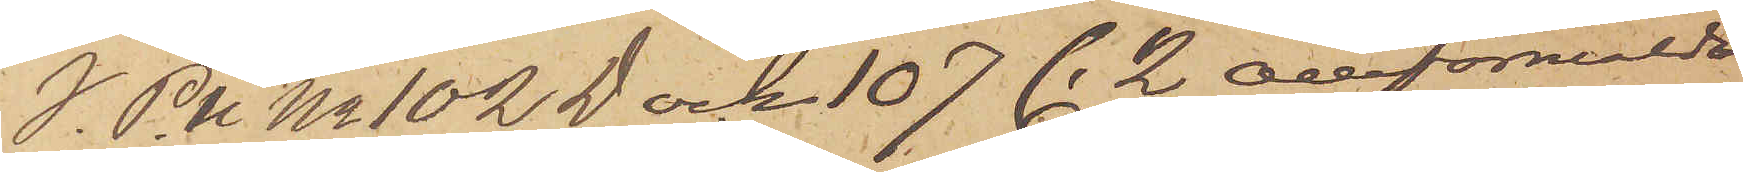I. P.U No 102 D och 107 C. 2 omförmälda
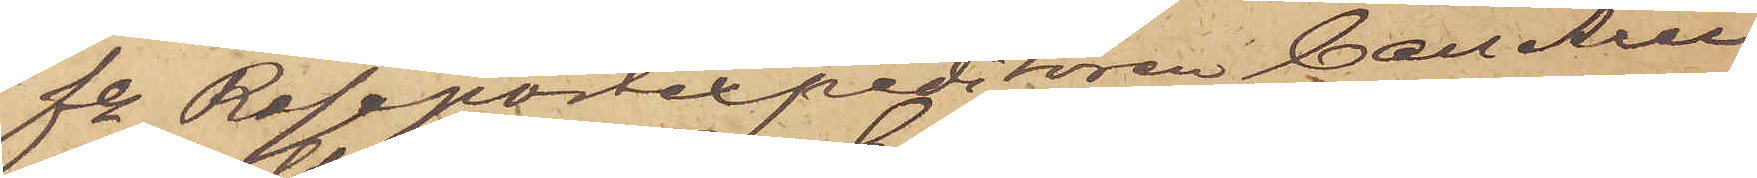fe Resepostexpeditören Carl Axel
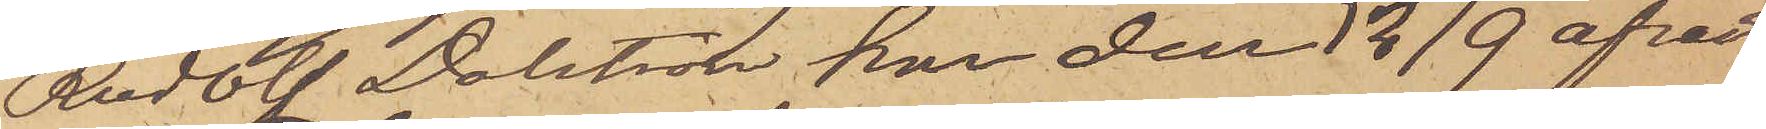Rudolf Dalström har den 12/9 afrest
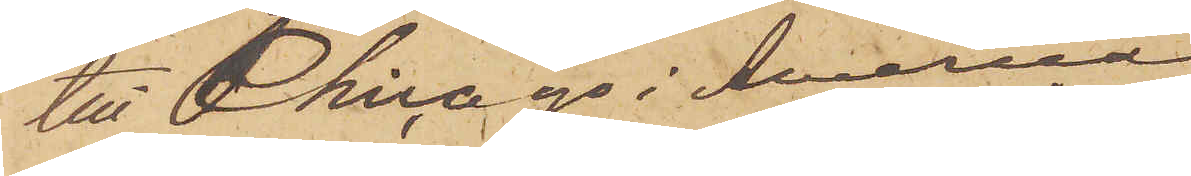till Chicago i America.
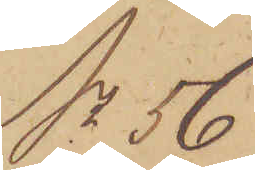No 56
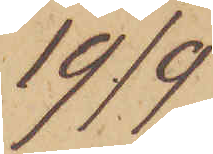19/9.
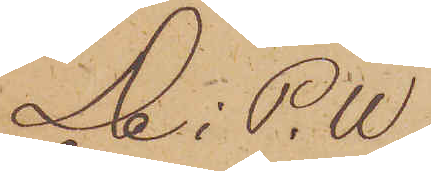De i P.U
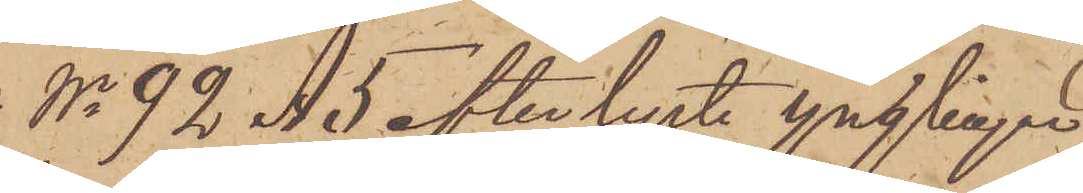No 92 A 5 efterlyste ynglingar
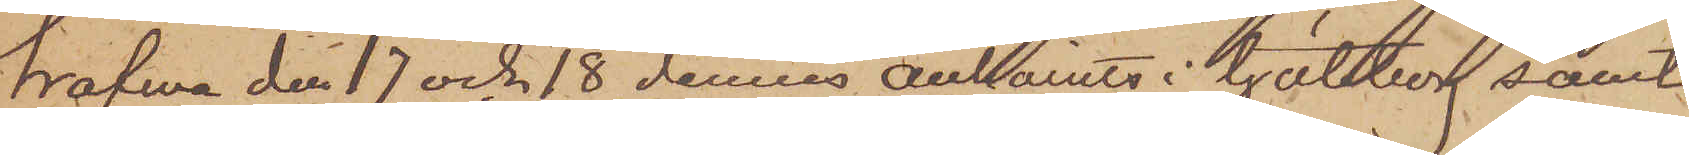hafwa den 17 och 18 dennes anhållits i Göteborg samt
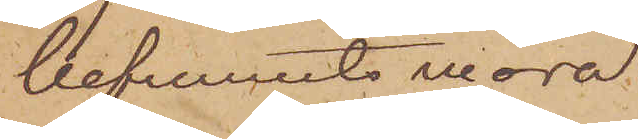befunnits wara
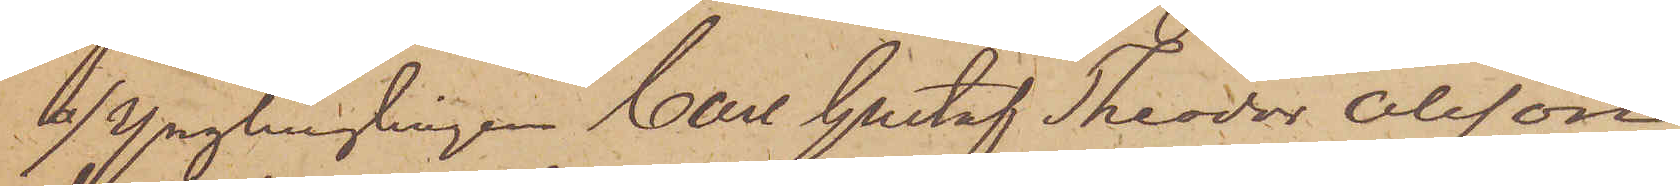a) ynglinglingen Carl Gustaf Theodor Olsson
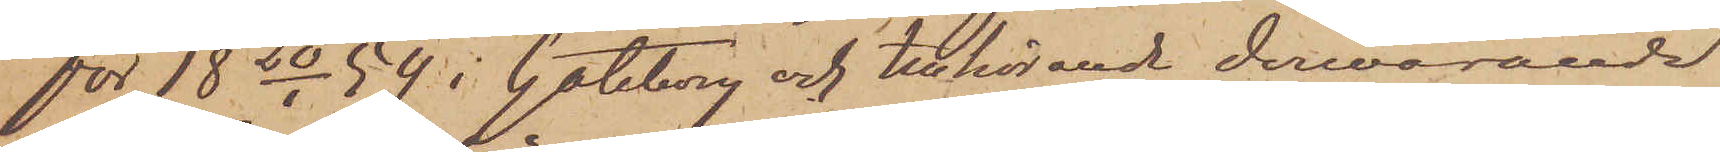för 18 20/1 54 i Göteborg och tillhörande dervarande
